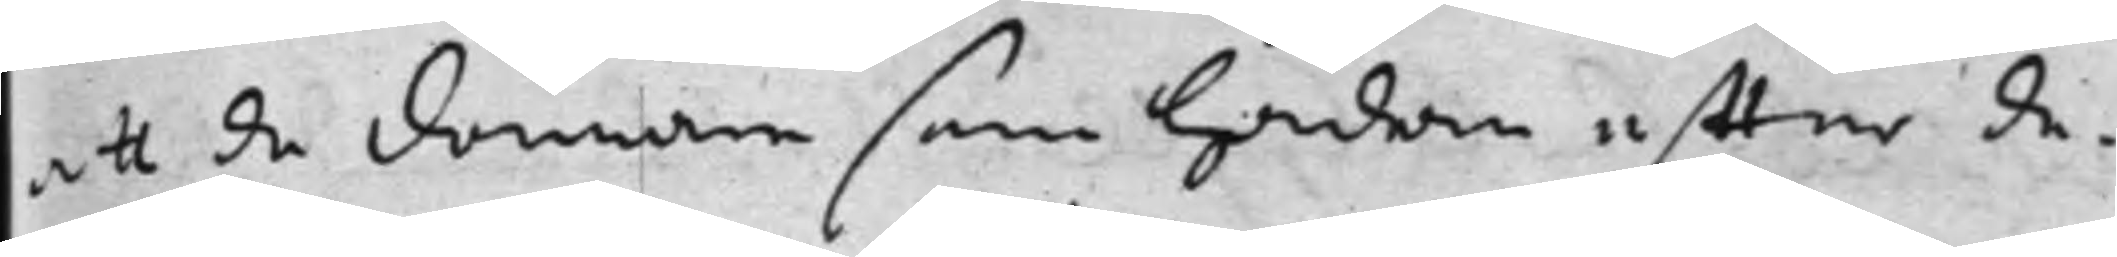att de domare som hädan effter de¬
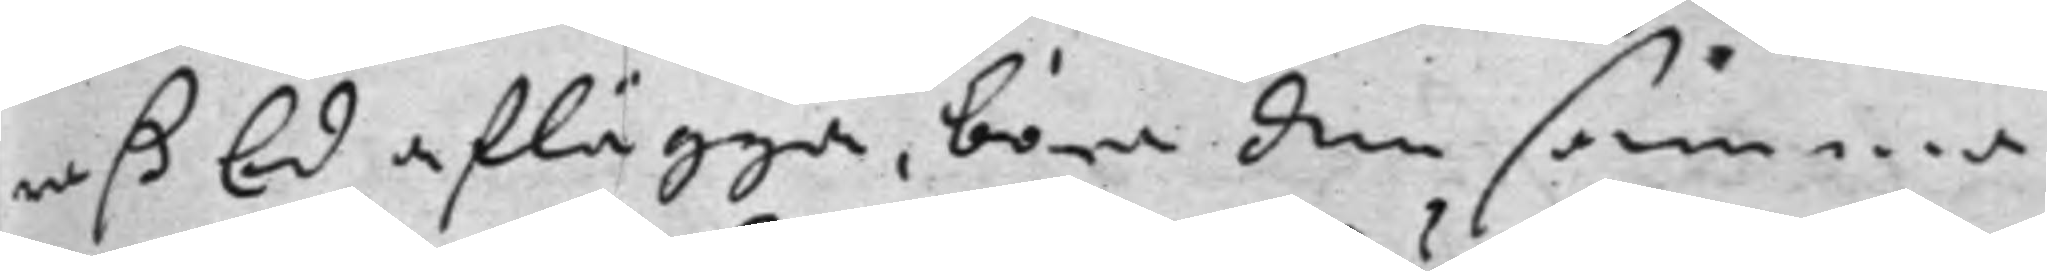raß Ed aflägga. böra den samma
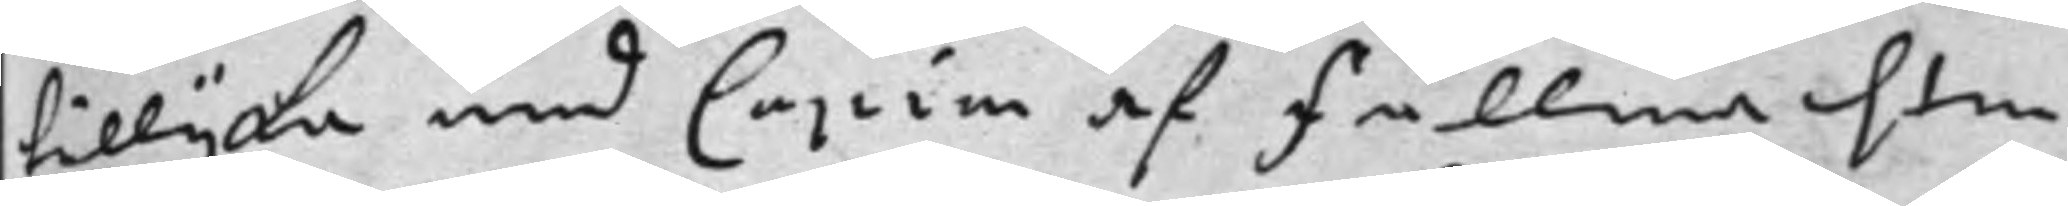tillijka med Copia af Fullmachten
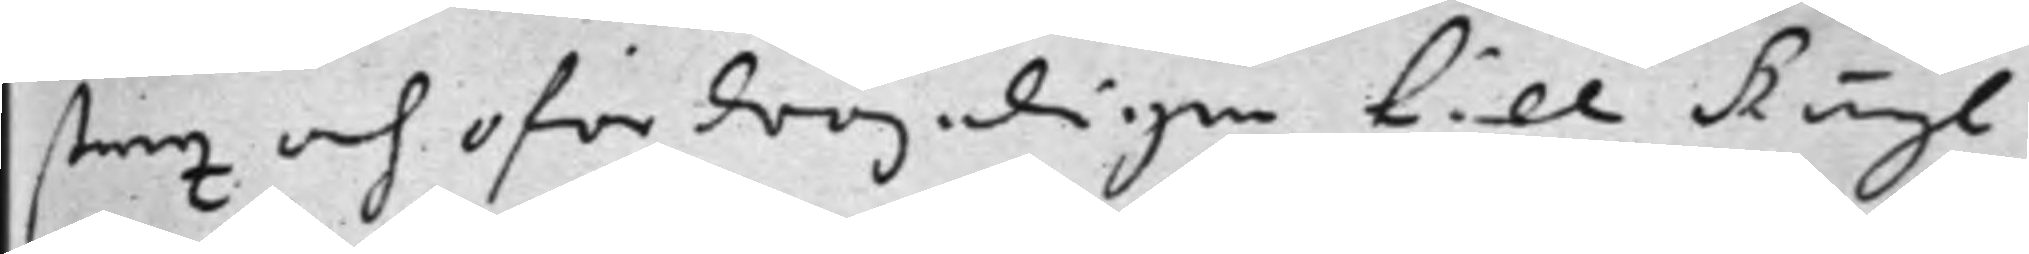strax och ofördröjeligen till Kongl
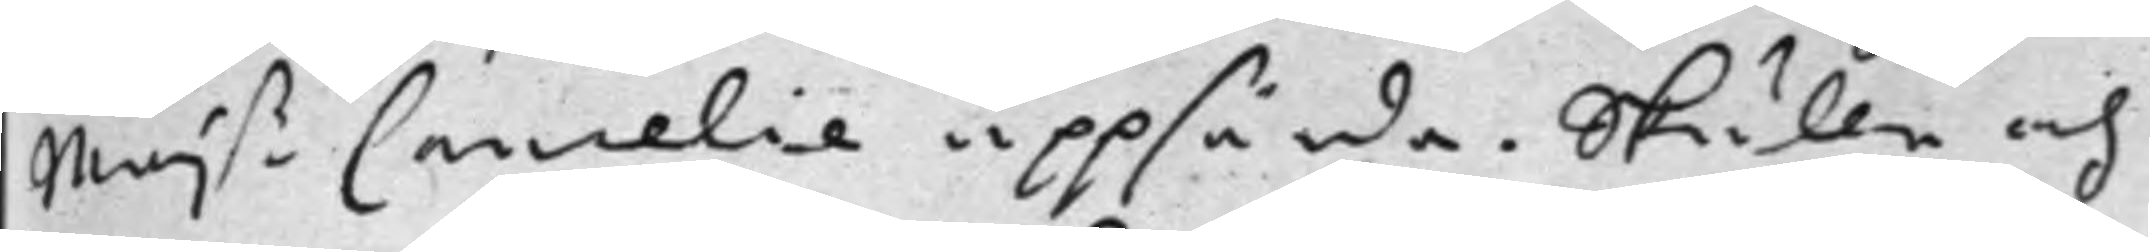Maj.ß Cancelie uppsända. Skulle och
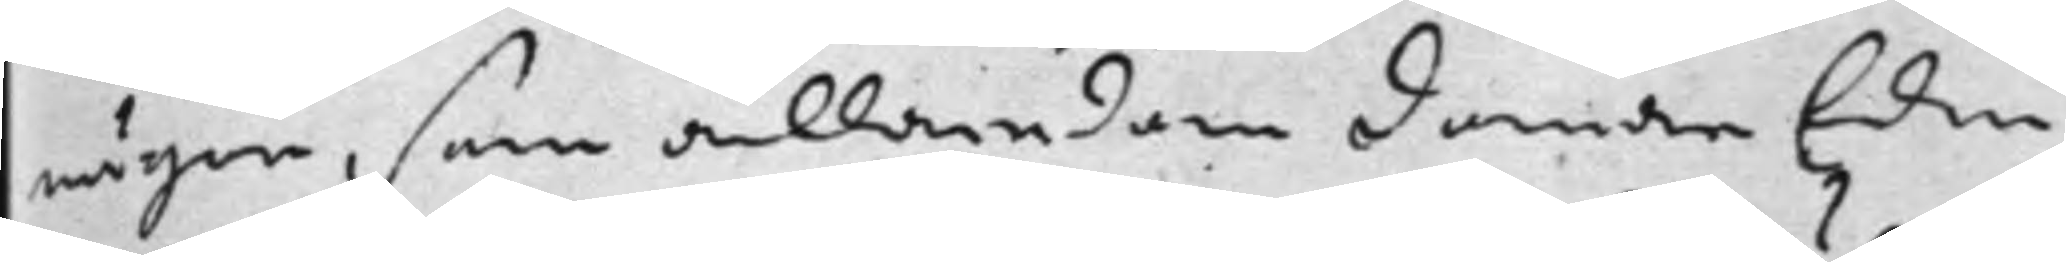någon, som allaredan domare Eden
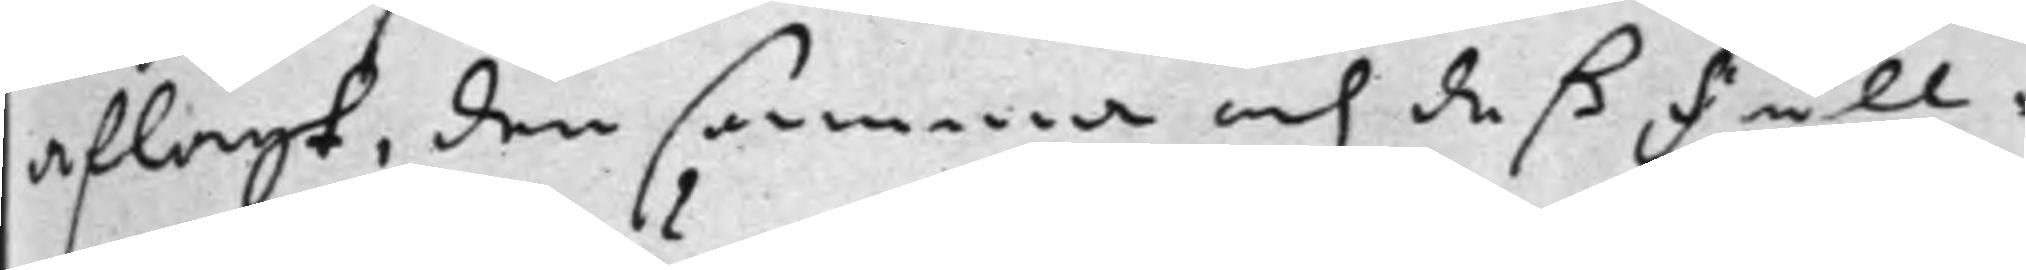aflagt, den samma och deß Full¬
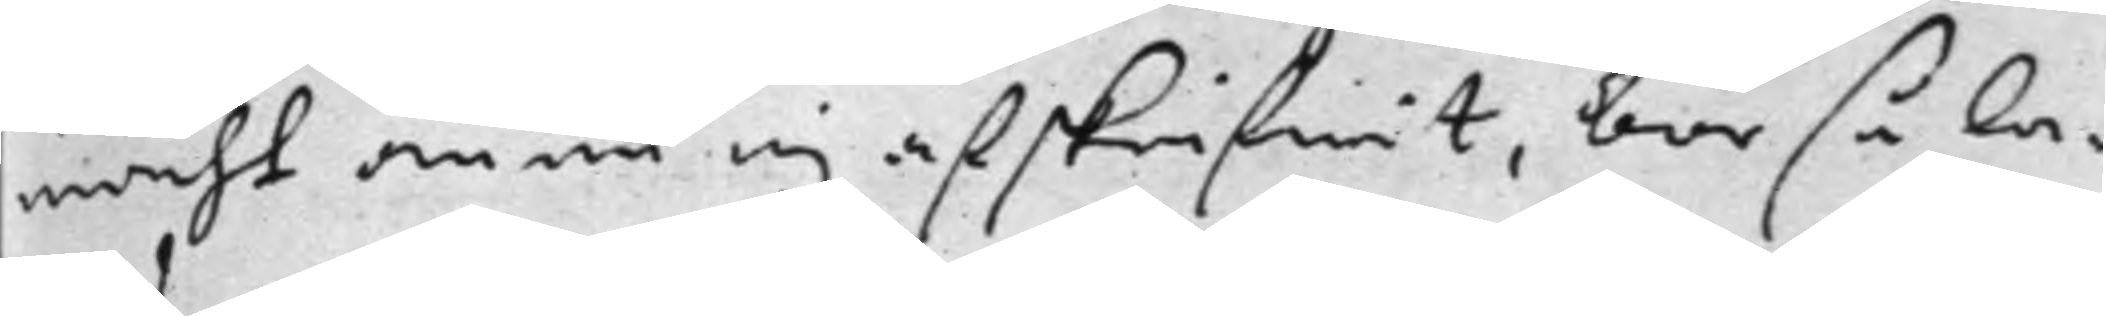macht ännu ej afskrifwit, bör så la¬
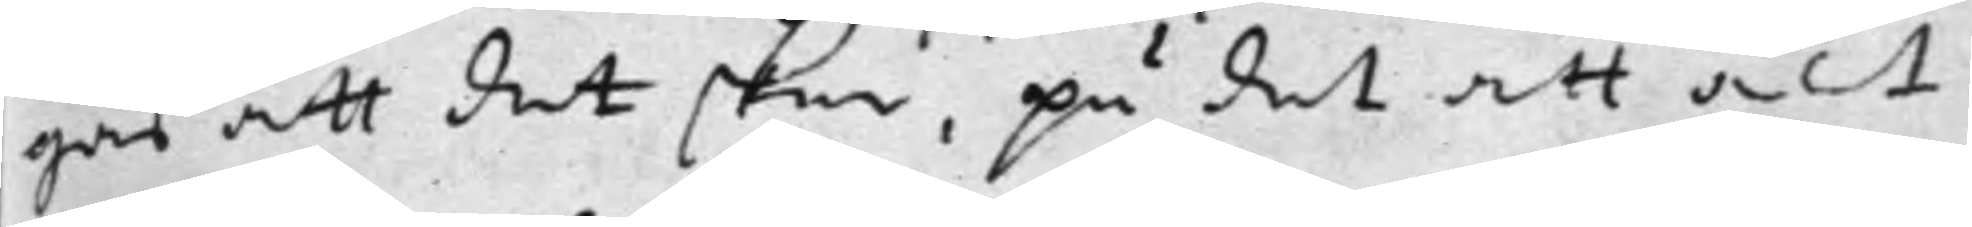gas att det sker, på det att alt
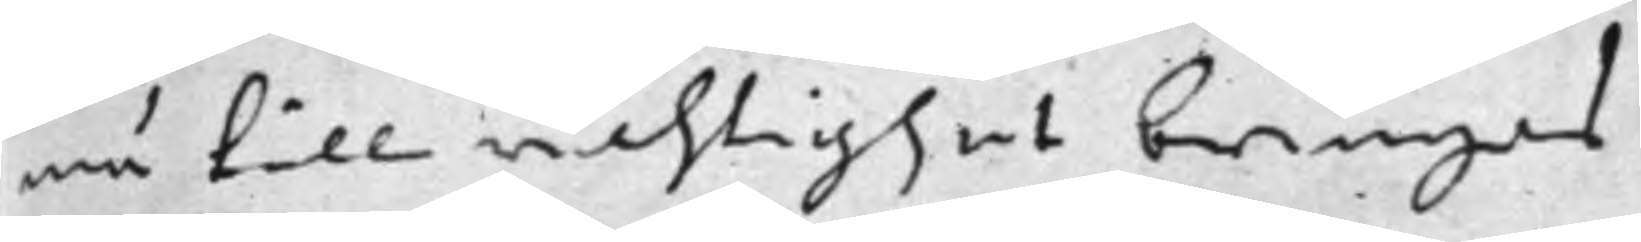må till richtighet bringas.
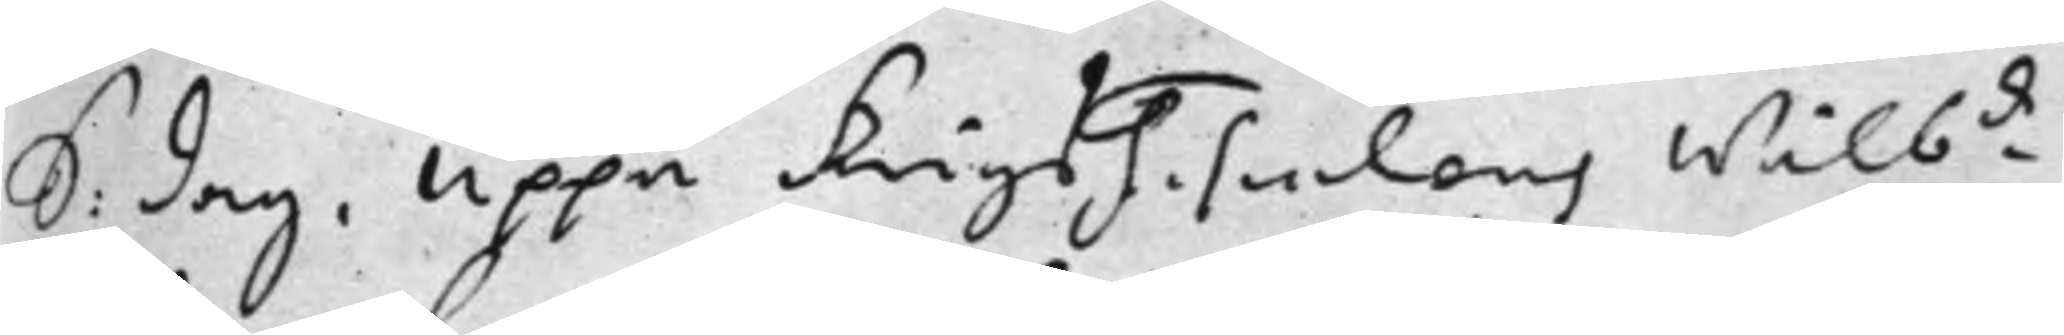S: dag. Uppå KrigsFiscalens Wälb.de
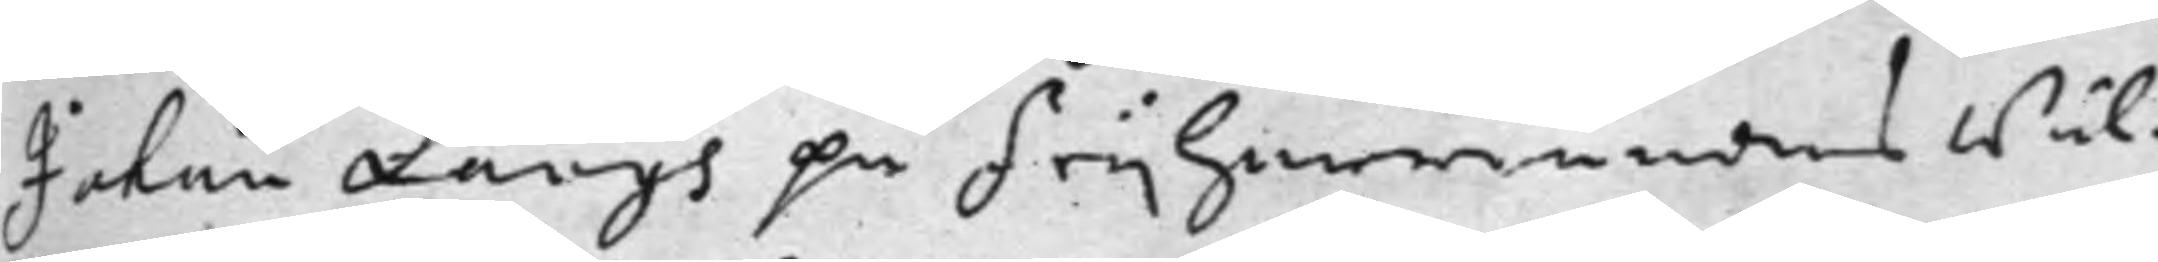Johan Langs på Frijherrinnans Wäl¬
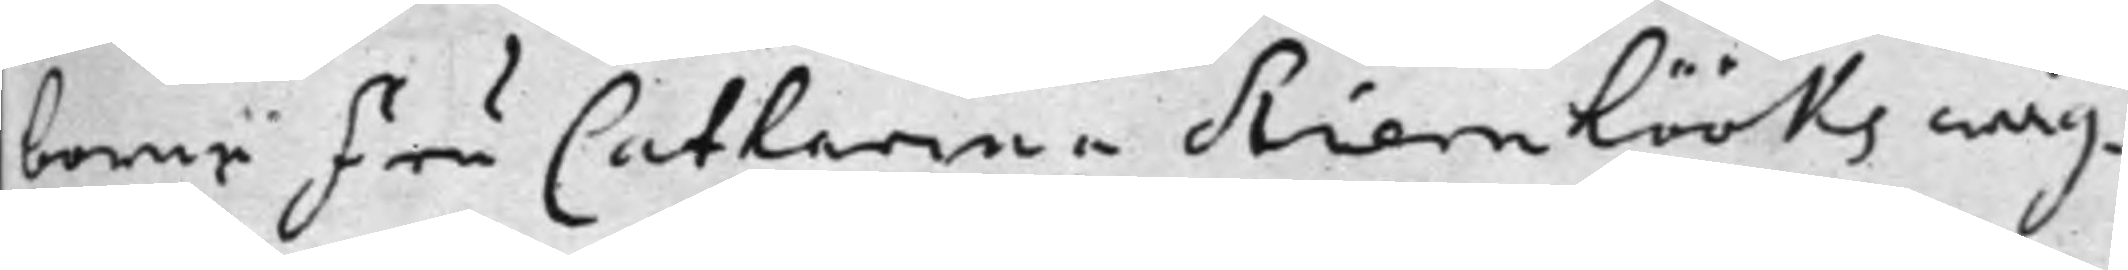borne Fru Catharina Stiernhööks wäg¬
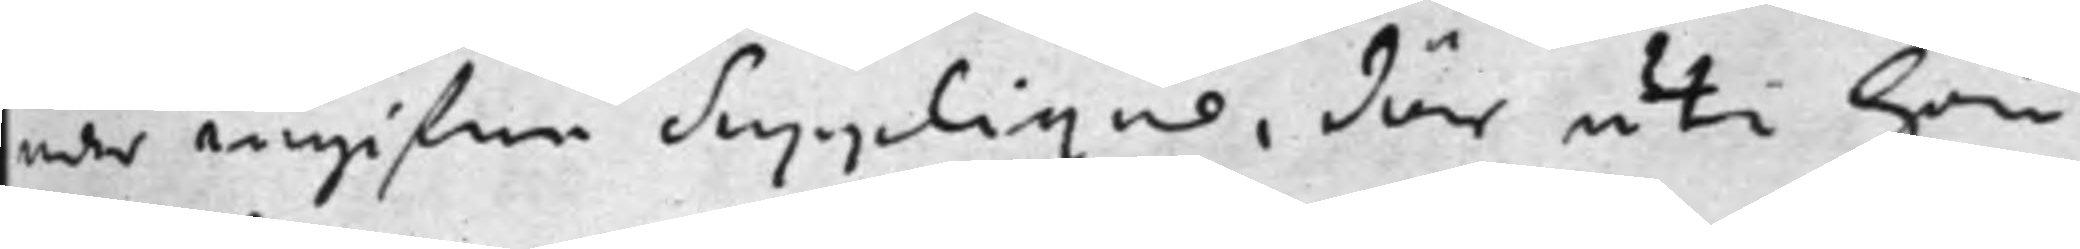nar ingifne Supplique, där uti Hon
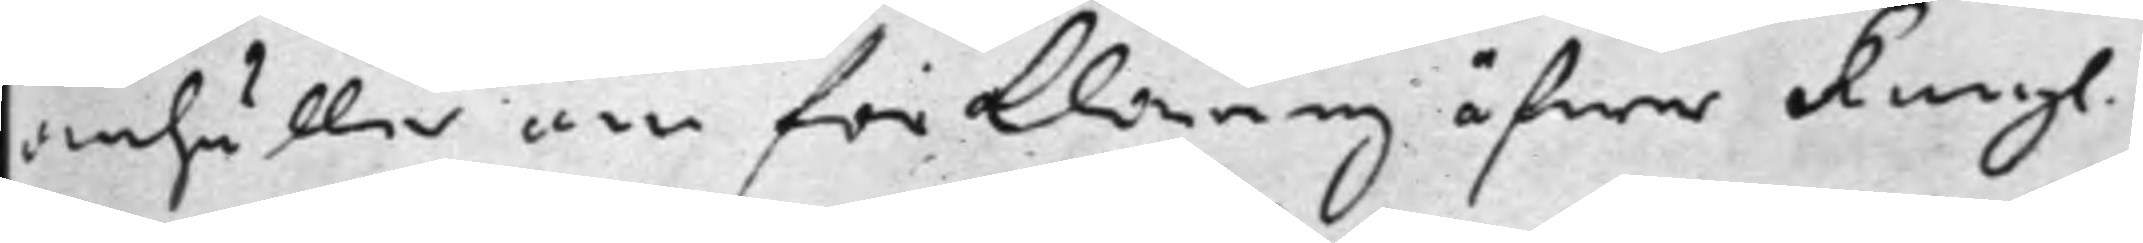anhåller om förklaring öfwer Kongl.
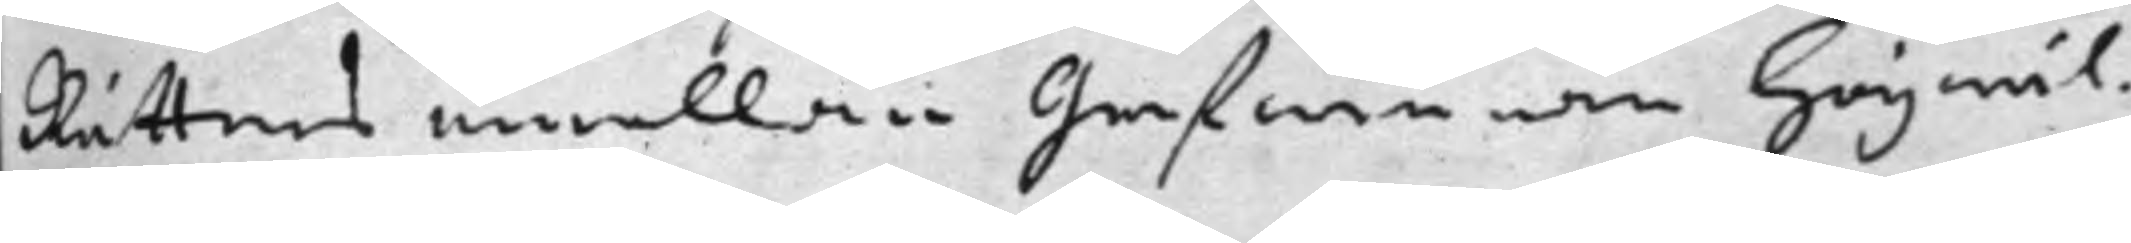Rättens emellan Grefwinnan Högwäl¬
